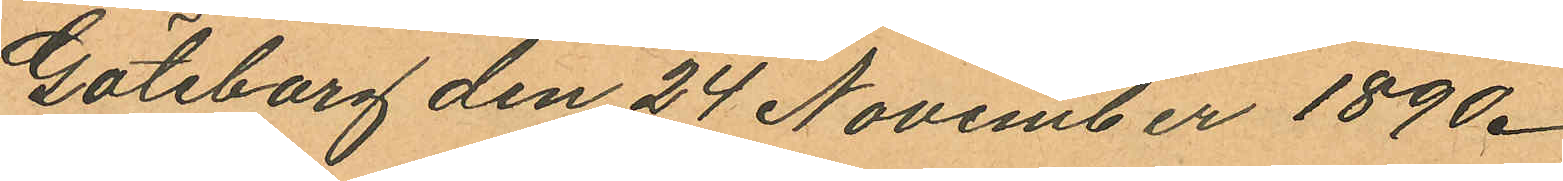Göteborg den 24 November 1890.
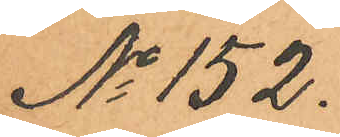No 152.
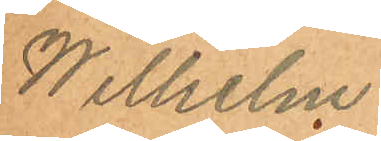Wilhelm
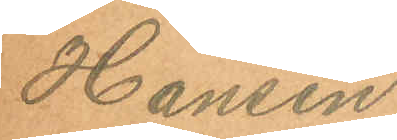Hansen.
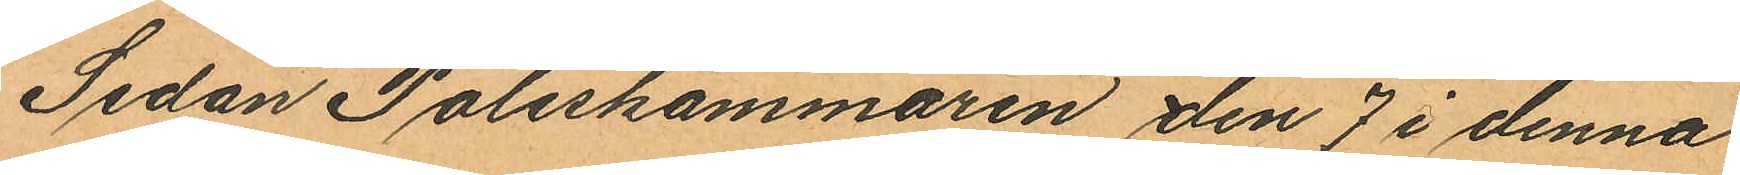Sedan Poliskammaren den 7 i denna
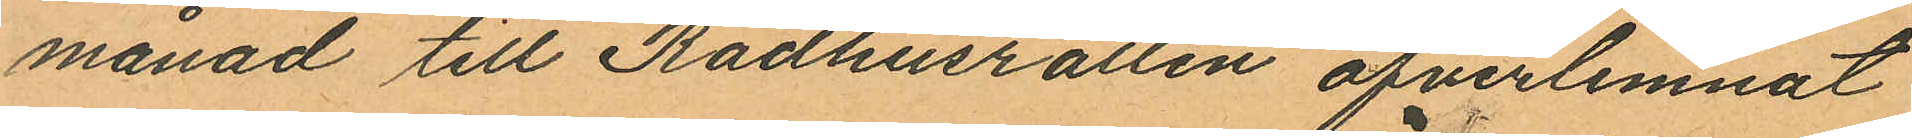månad till Rådhusrätten öfverlemnat
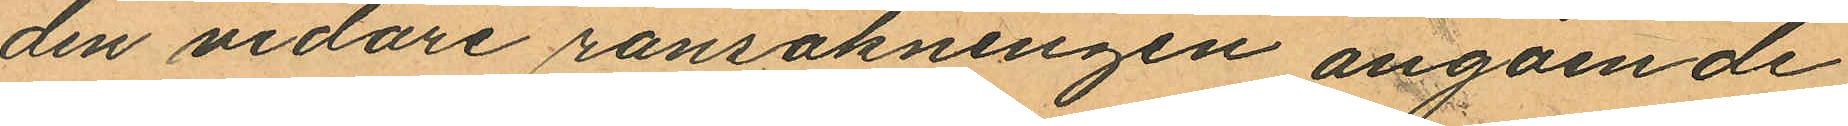den vidare ransakningen angående
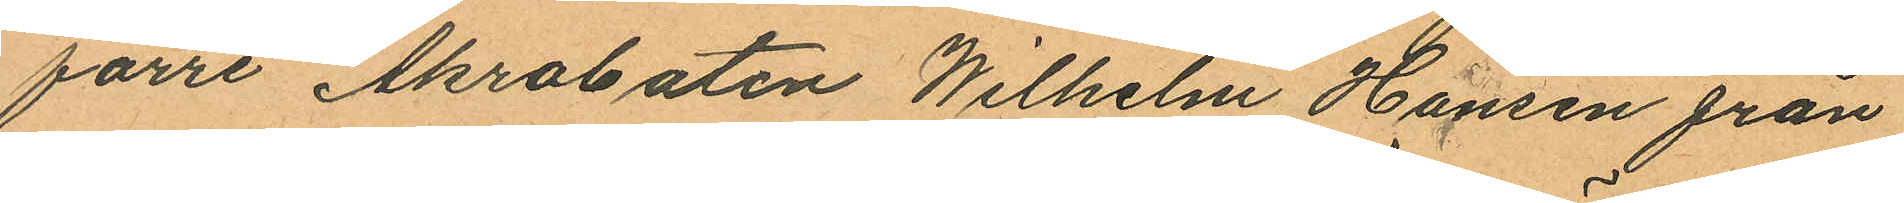förre Akrobaten Wilhelm Hansen från
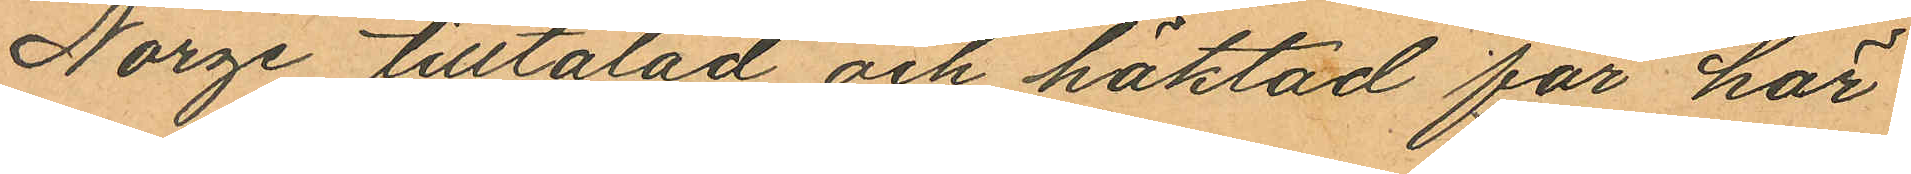Norge tilltalad och häktad för här
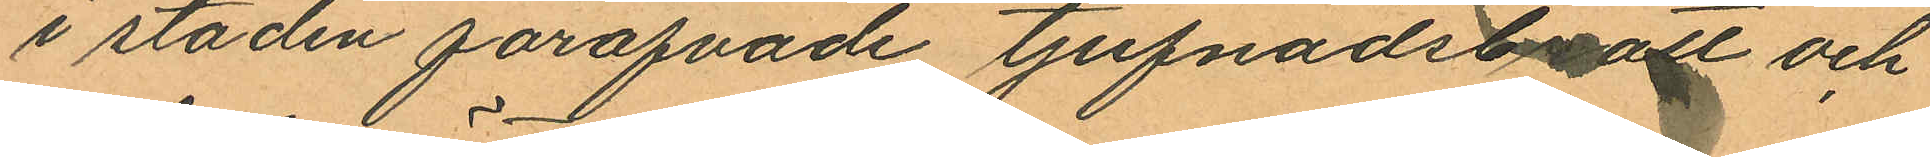i staden föröfvade tjufnadsbrott och
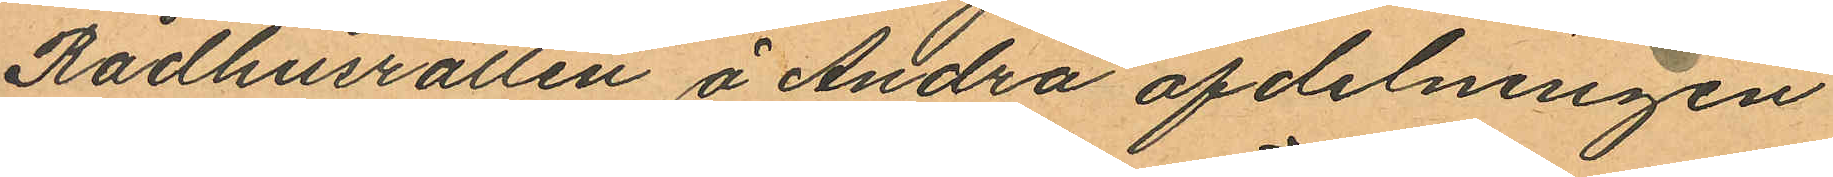Rådhusrätten å Andra afdelningen
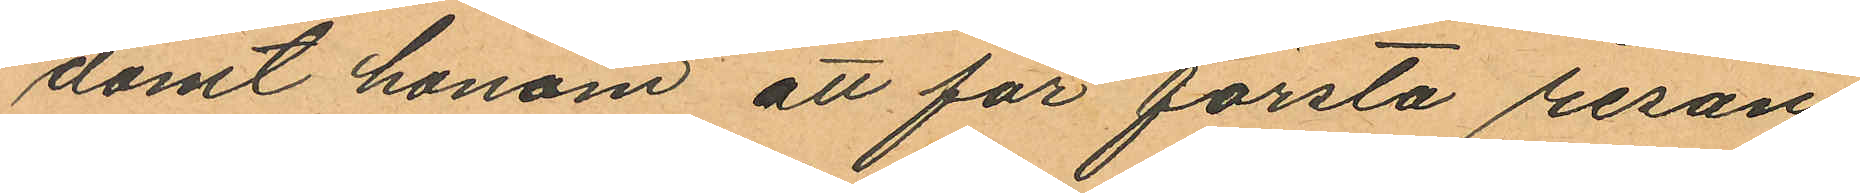dömt honom att för första resan
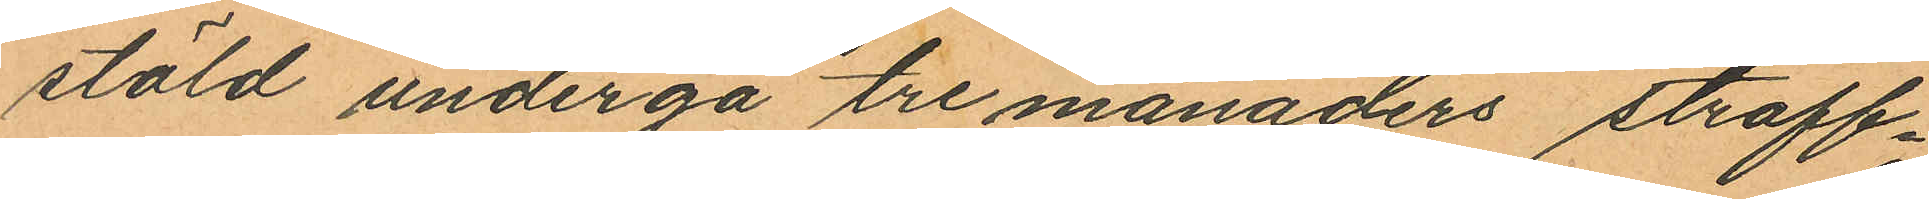stöld undergå tre månaders straff¬
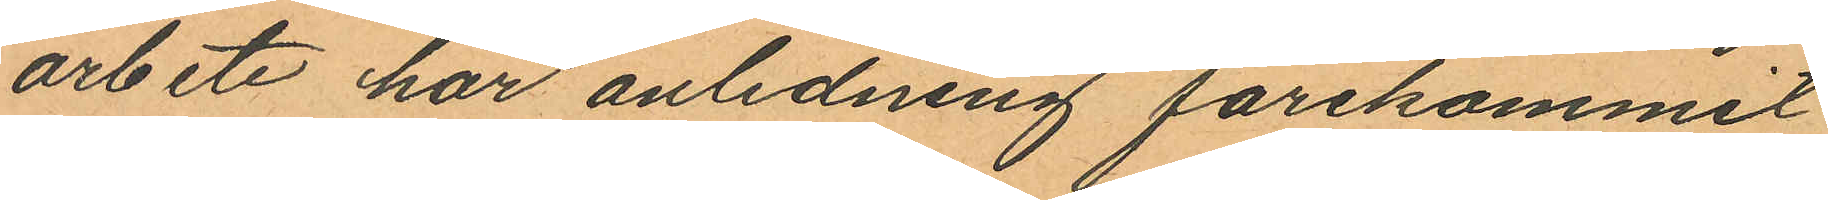arbete har anledning förekommit
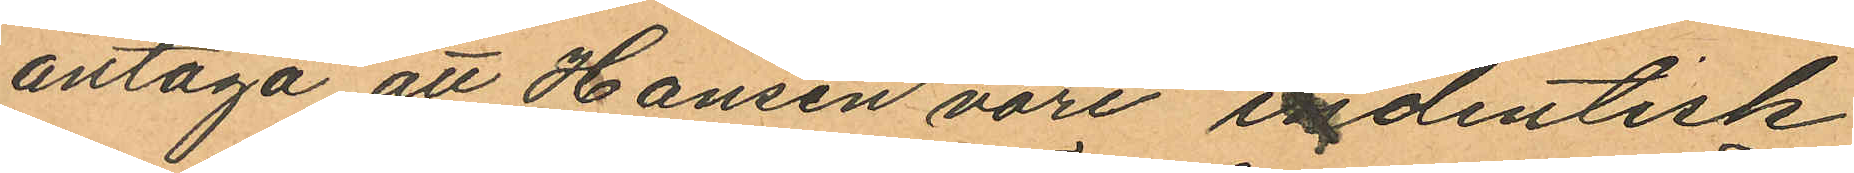antaga att Hansen vore indentisk
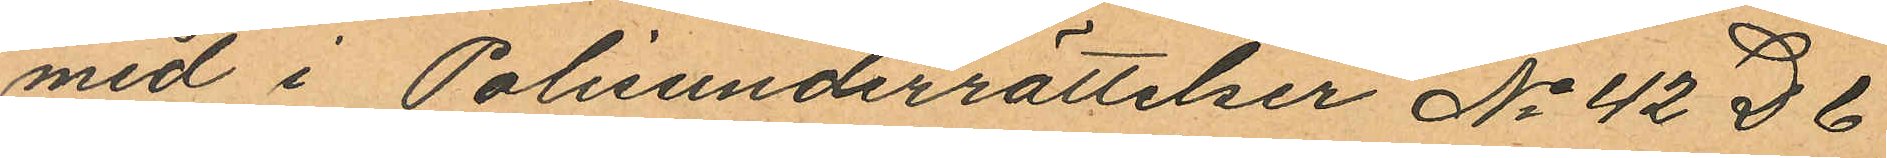med i Polisunderrättelser No 42 D 6
